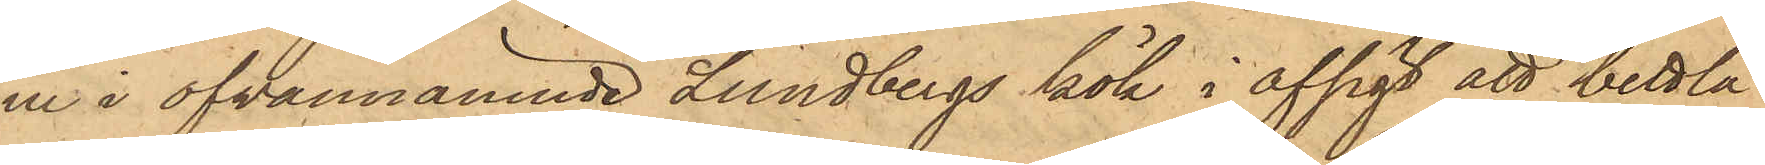in i ofvannämnde Lundbergs kök i afsigt att bettla
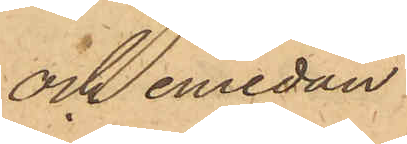och emedan
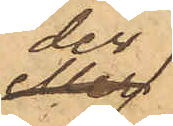der
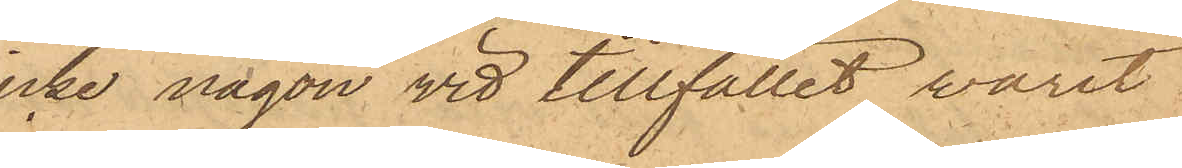icke någon vid tillfället varit
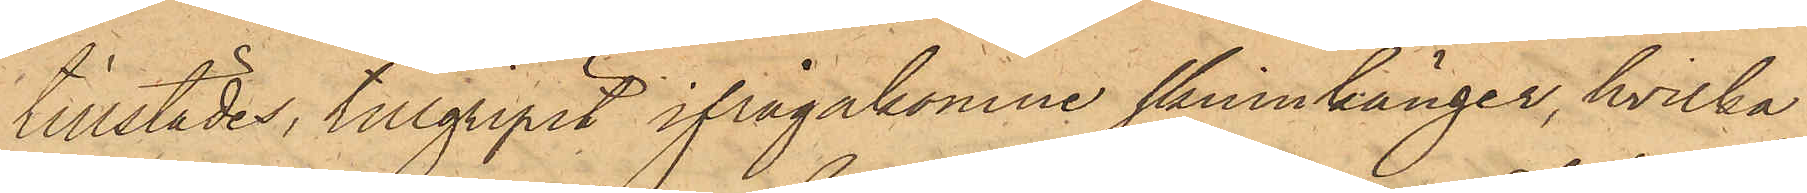tillstädes, tillgripit ifrågakomne skinnkänger, hvilka
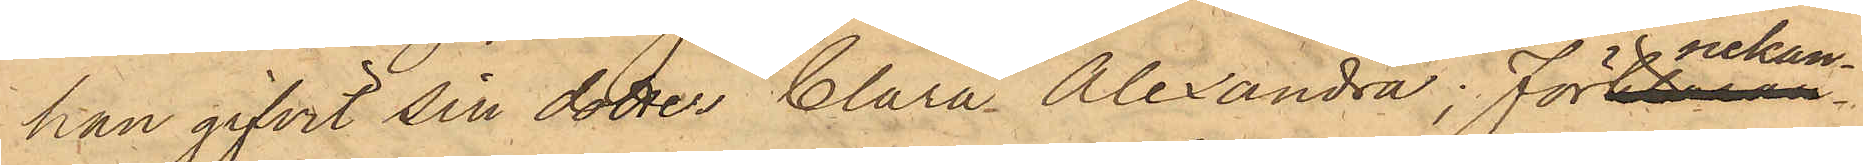han gifvit sin dotter Clara Alexandra, förnekan¬
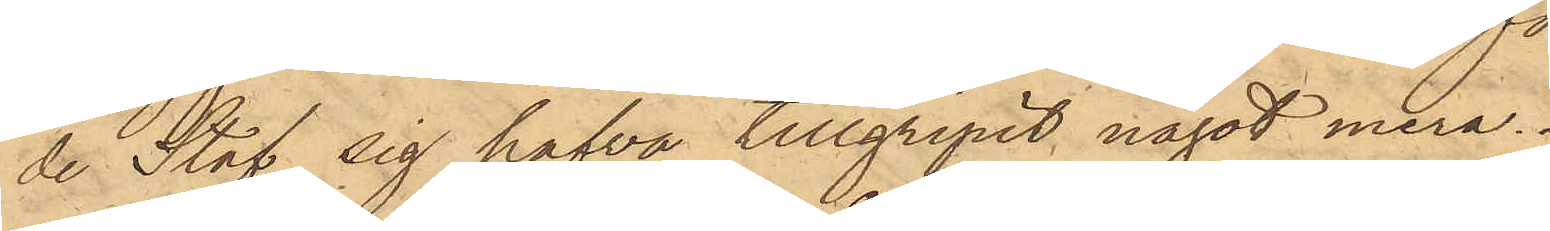de Staf sig hafva tillgripit något mera.
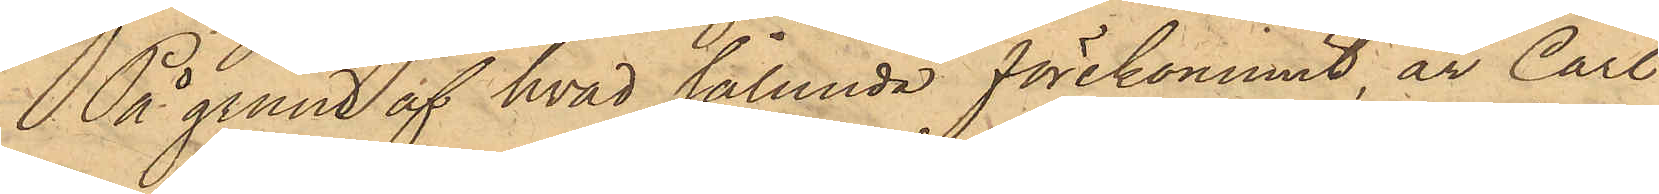På grund af hvad sålunda förekommit, är Carl
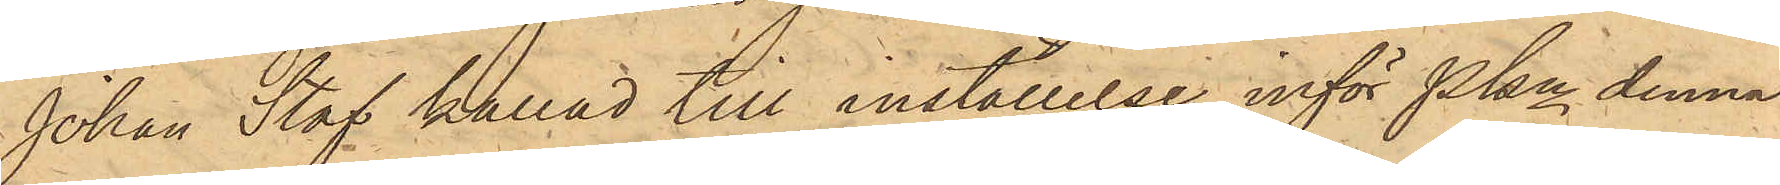Johan Staf kallad till inställelse inför Pkn denna
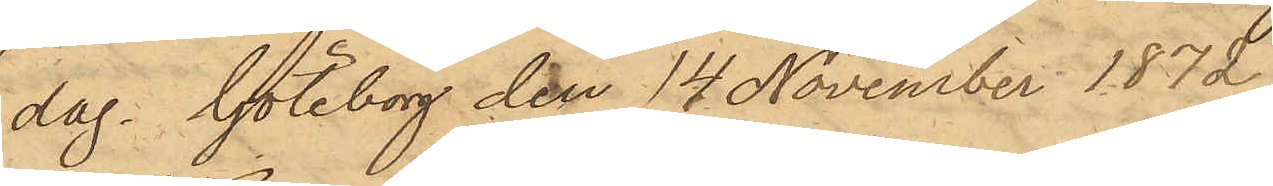dag. Göteborg den 14 November 1872
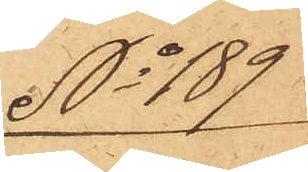No 189
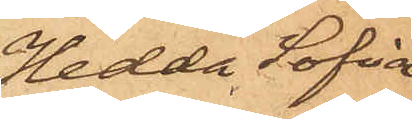Hedda Sofia
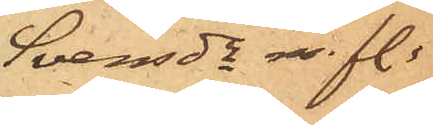Svensdr m. fl.
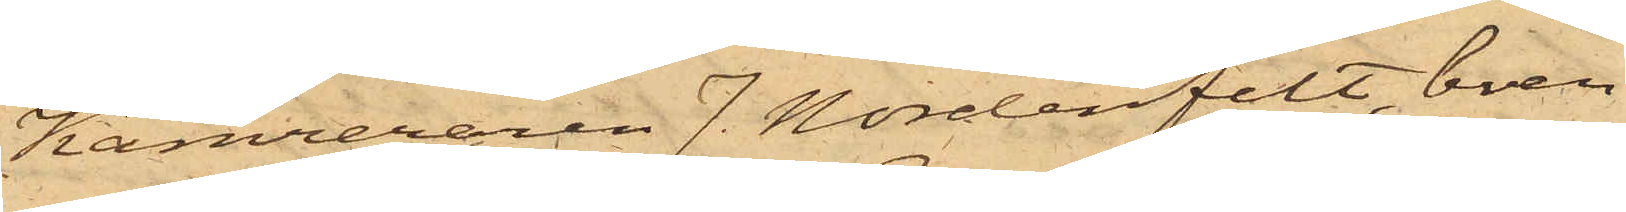Kamreraren J. Nordenfelt, boen¬
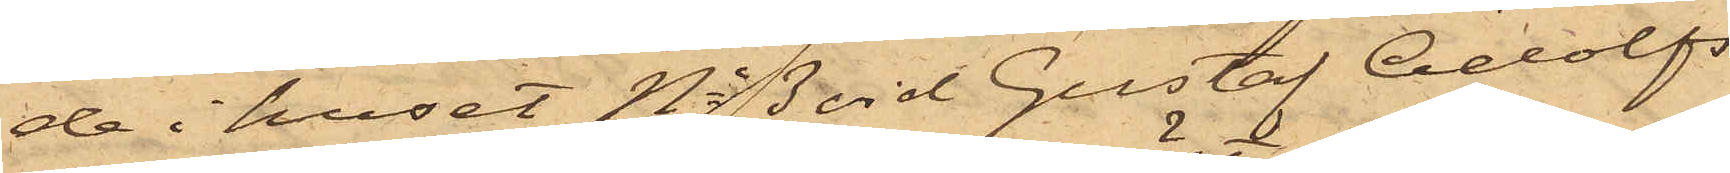de i huset No 3 vid Gustaf Adolfs
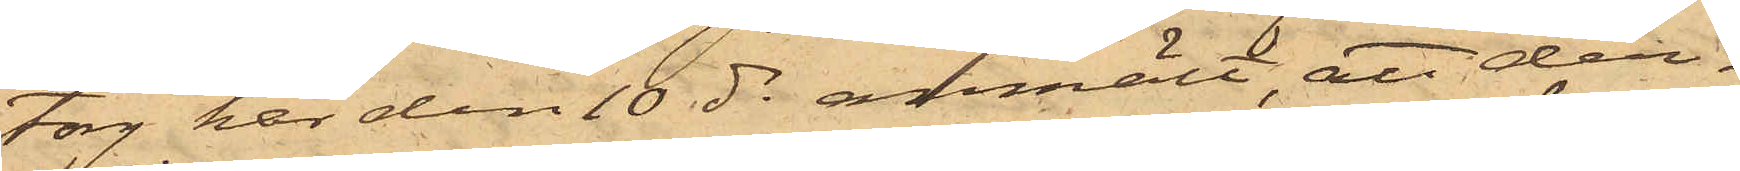torg har den 10 ds anmält, att den¬
